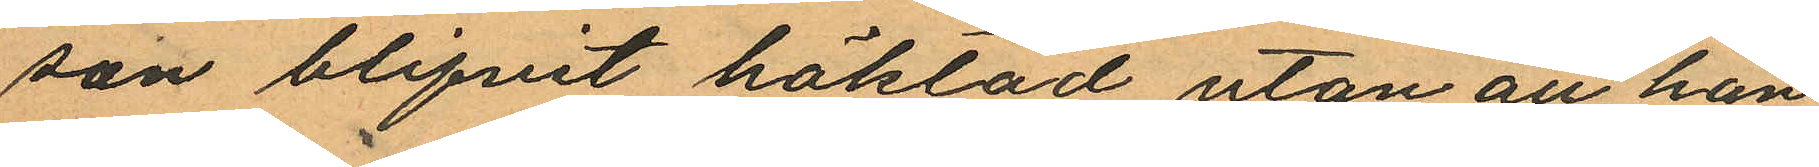son blifvit häktad utan att han
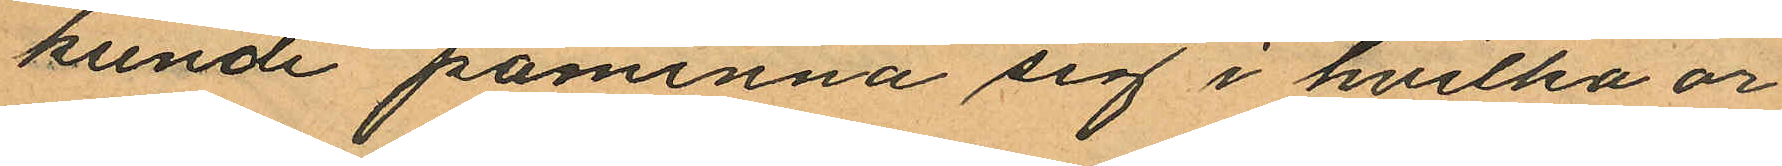kunde påminna sig i hvilka or
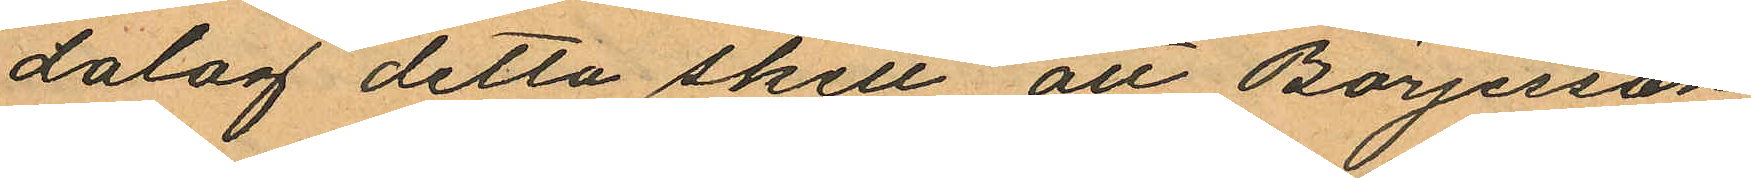dalag detta skett att Börjesson
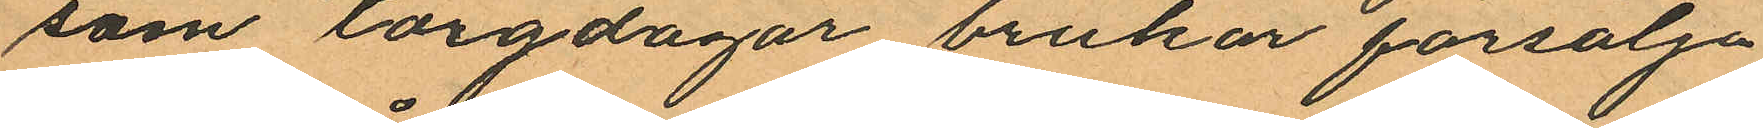som torgdagar brukar försälja
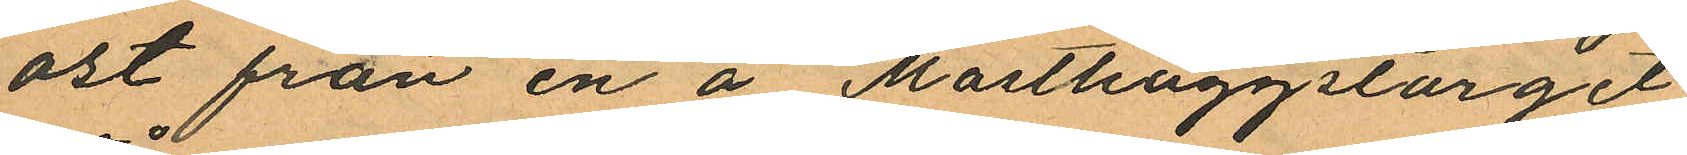ost från en å Masthuggstorget
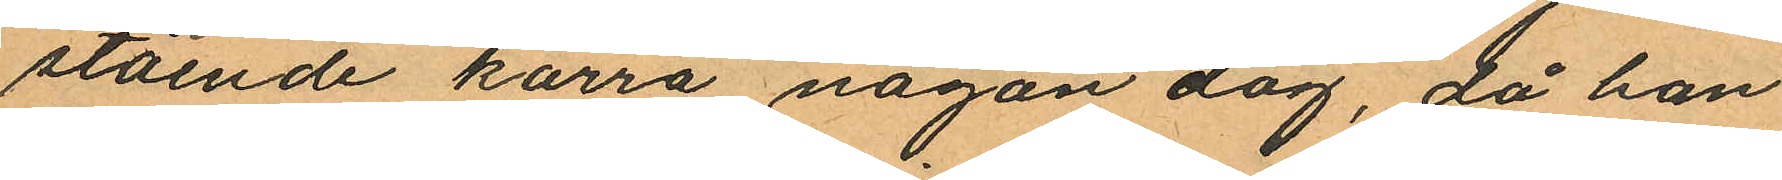stående kärra någon dag, då han
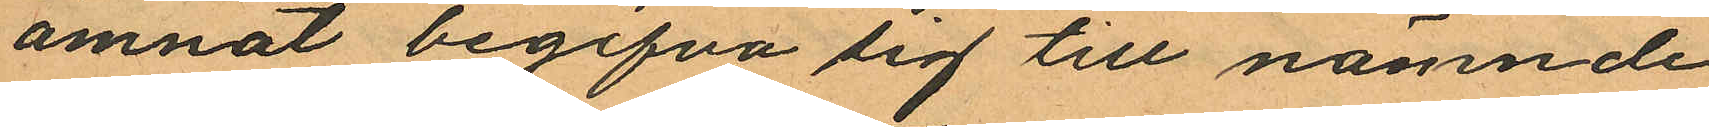ämnat begifva sig till nämnde
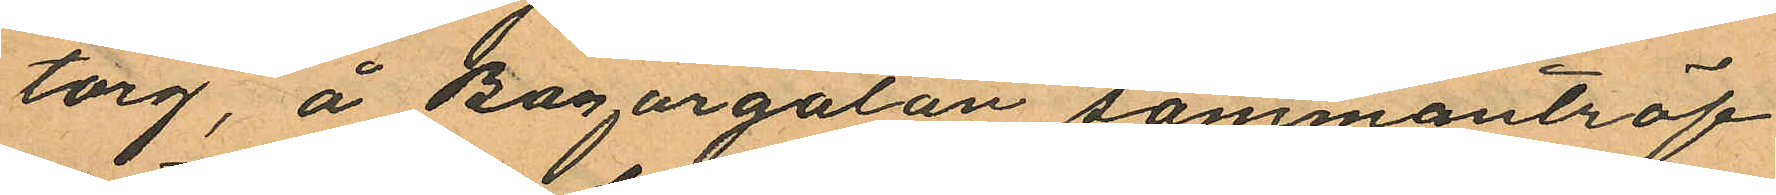torg, å Bazargatan sammanträf¬
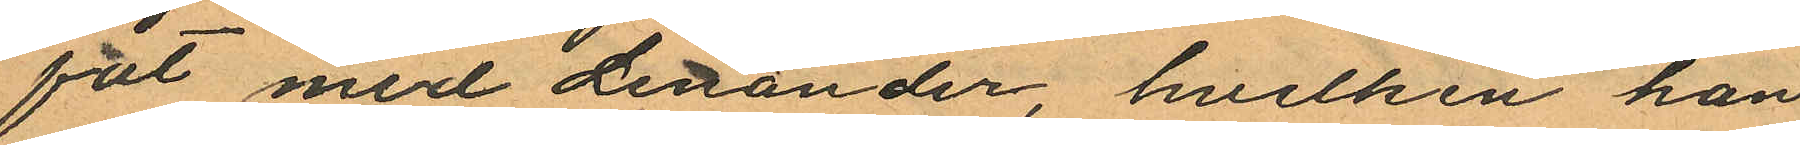fat med Lenander, hvilken han
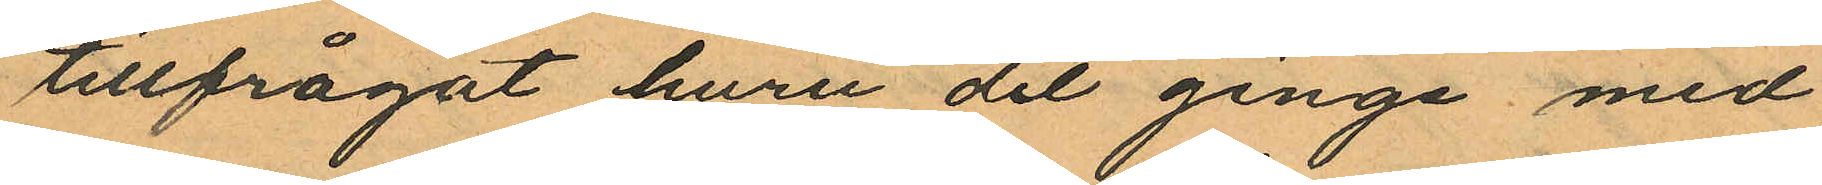tillfrågat huru det ginge med
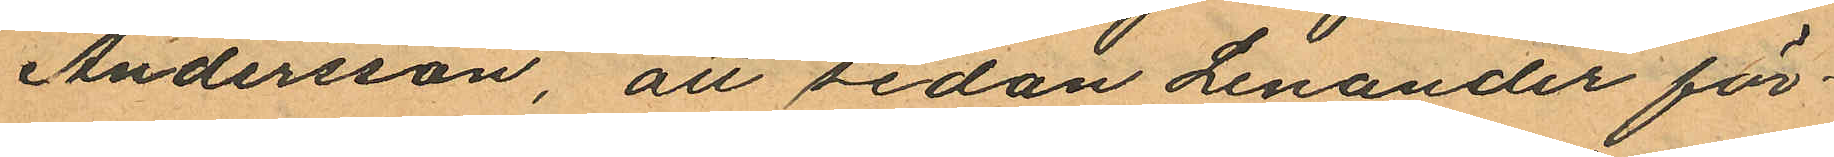Andersson, att sedan Lenander för¬
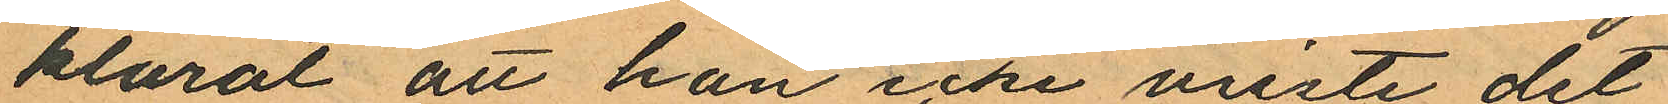klarat att han icke viste det
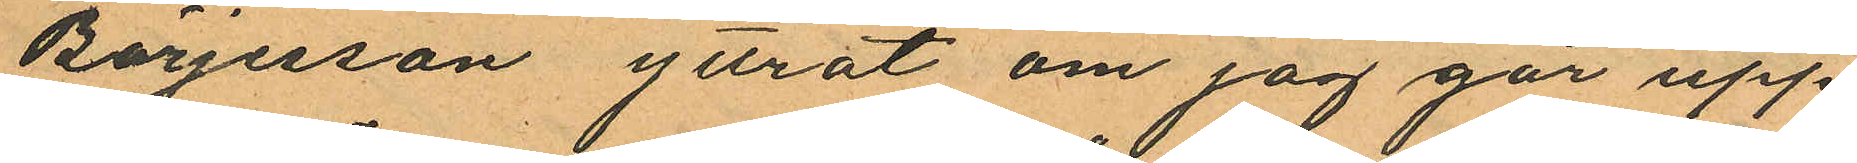Börjesson yttrat om jag går upp
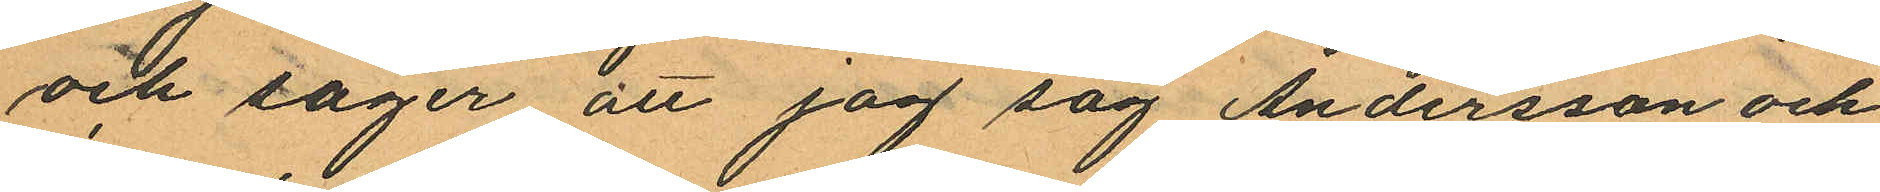och säger att jag jag Andersson och
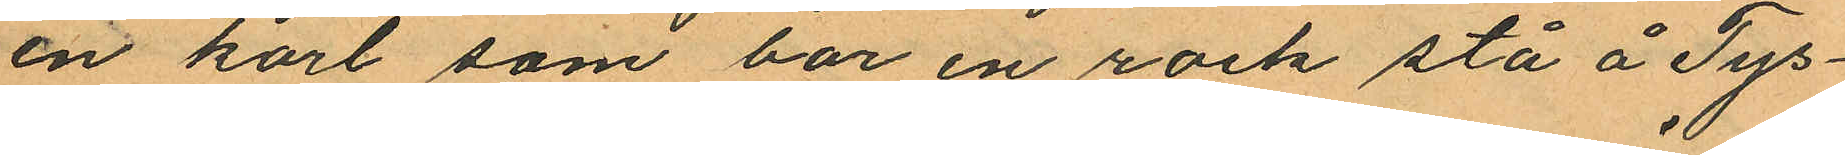en karl som bar en rock stå å Tys¬
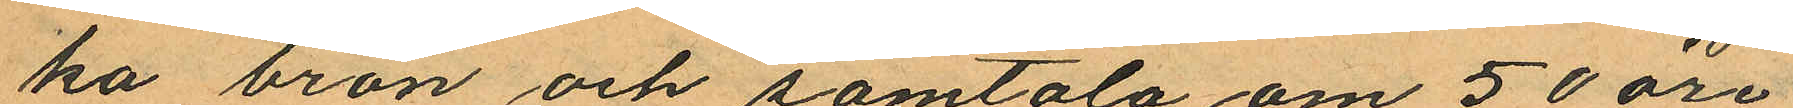ka bron och samtala om 50 öre
